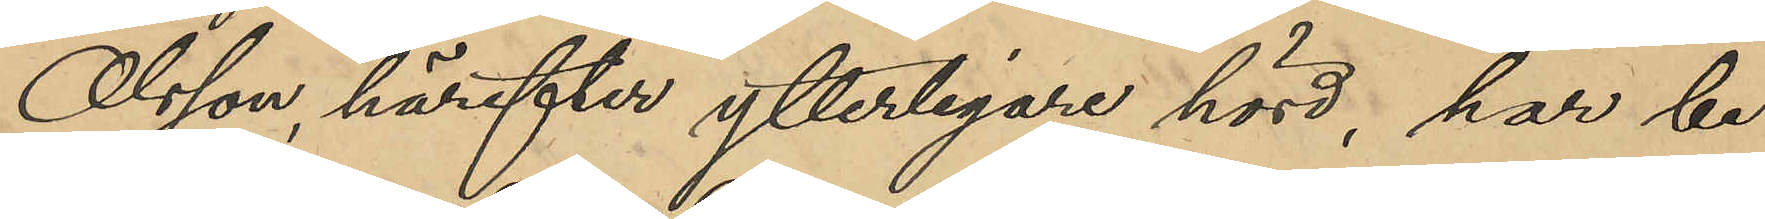Olsson härefter ytterligare hörd, har be¬
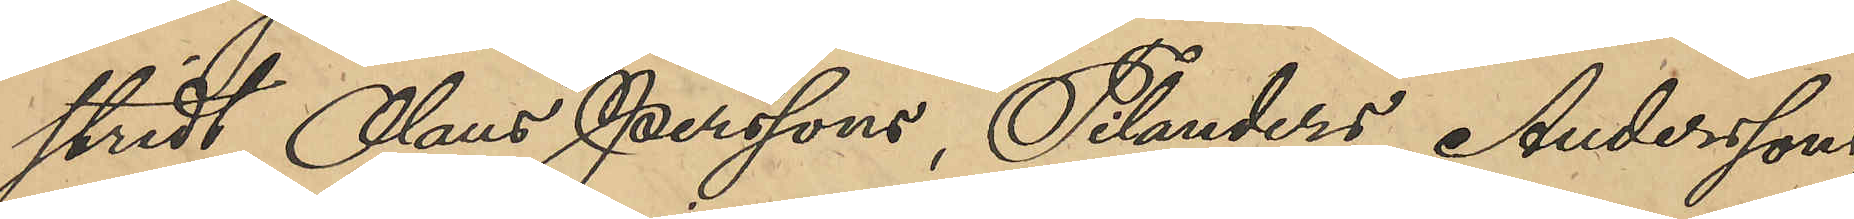stridt Olaus Perssons, Tilander, Anderssons,
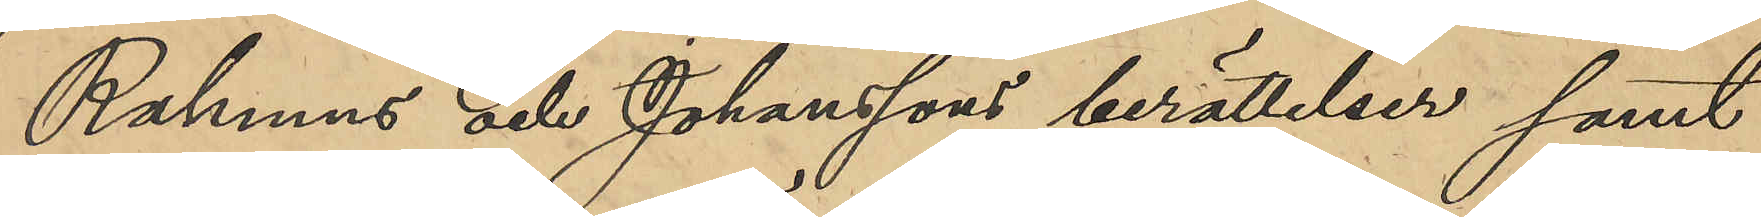Rahmans och Johansson berättelser samt
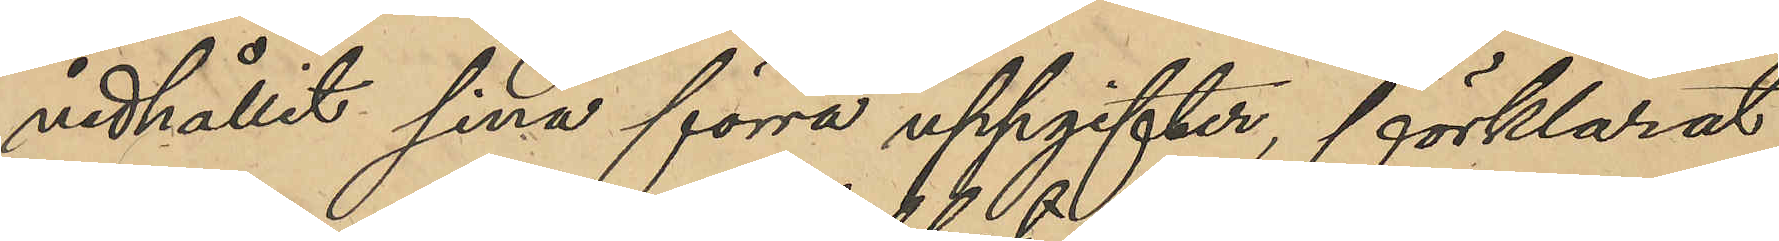vidhållit sina förra uppgifter förklarat
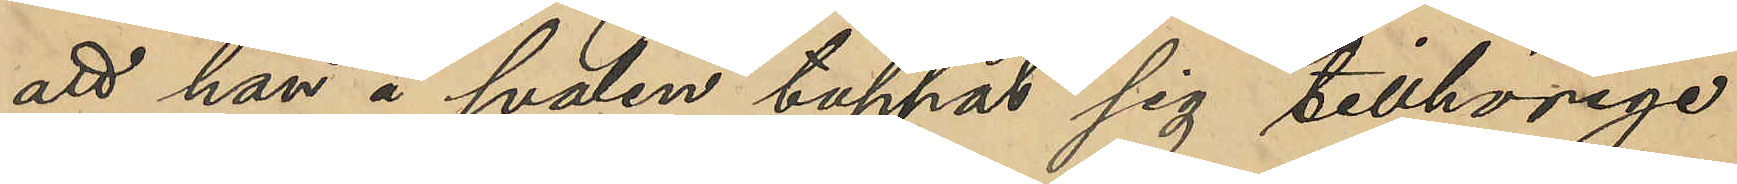att han å svalen tappat sig tillhörige
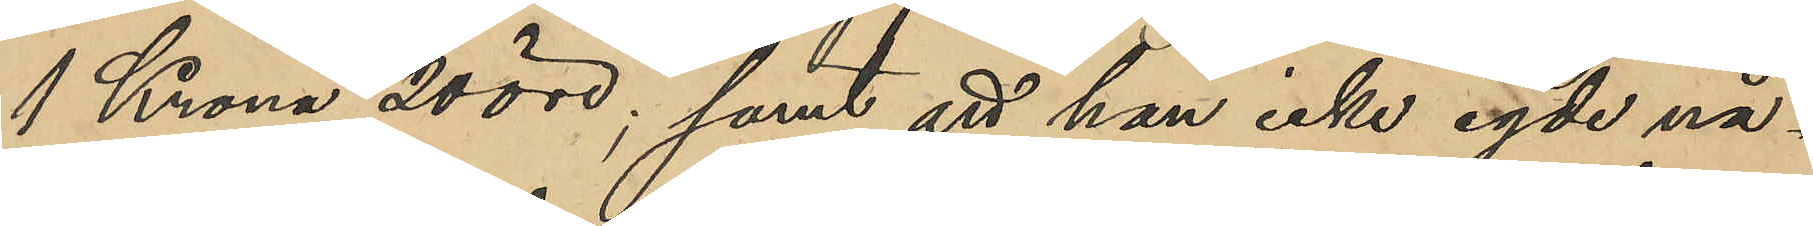1 Krona 20 öre; samt att han icke egde nå¬
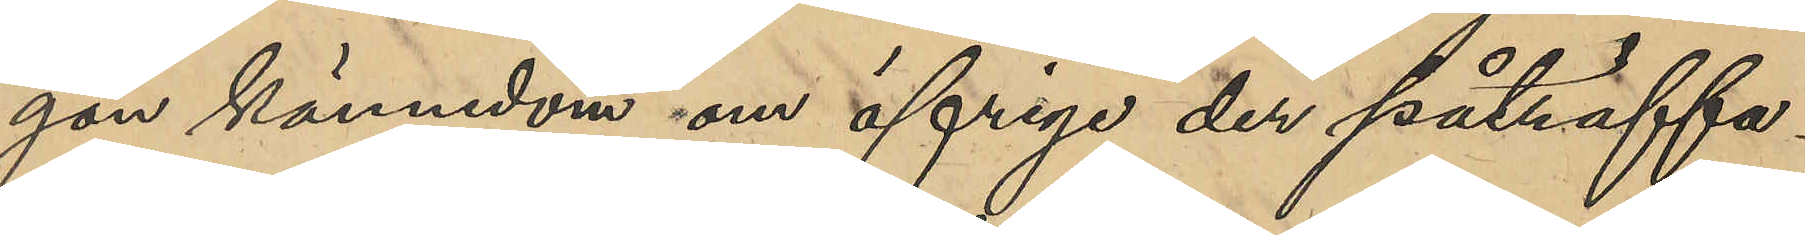gon kännedom om öfriga der påträffa¬
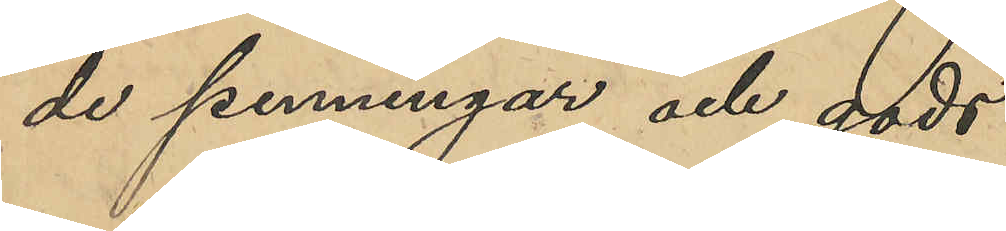de penningar och gods.
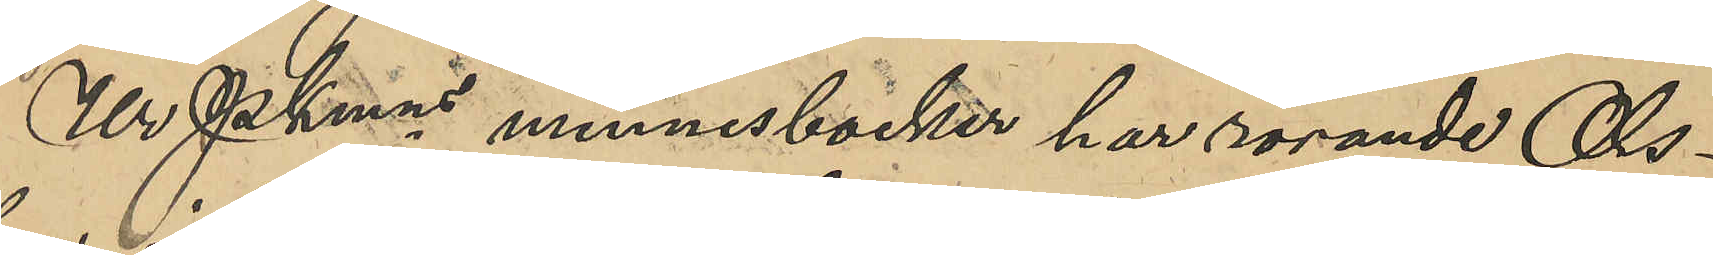Ur PKmns minnesböcker har rörande Ols¬
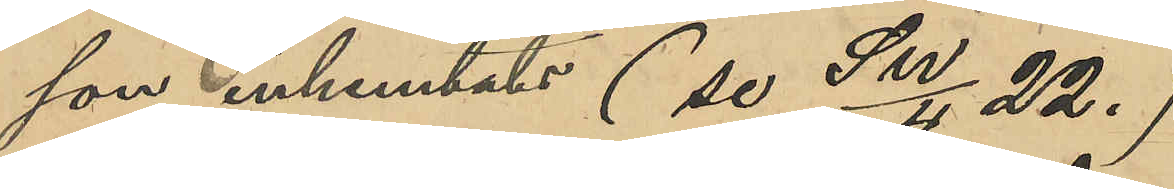son inhemtats (se SW/4 22.)
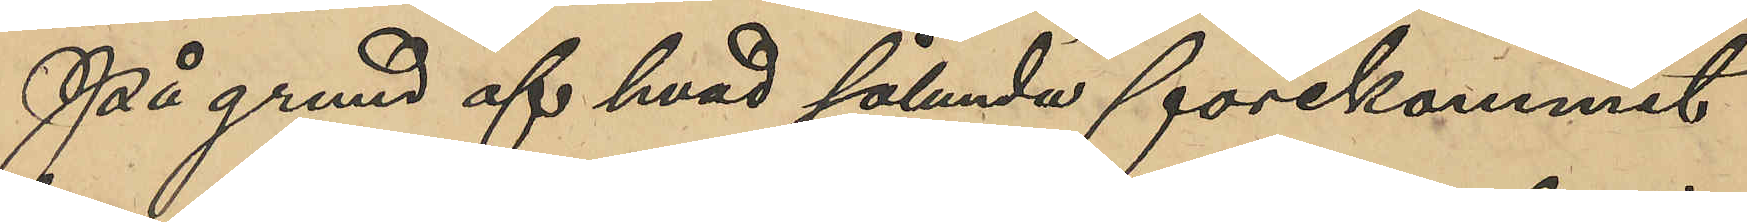På grund af hvad sålunda förekommit
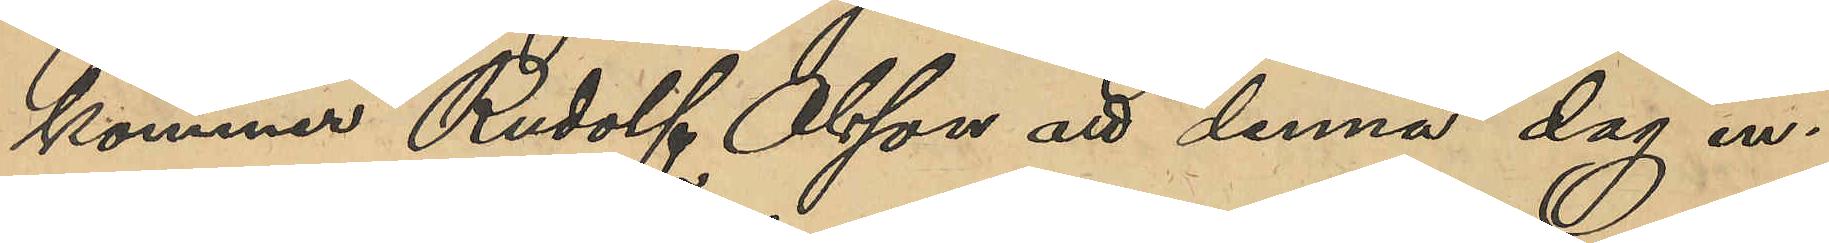kommer Rudolf Olsson att denna dag in¬
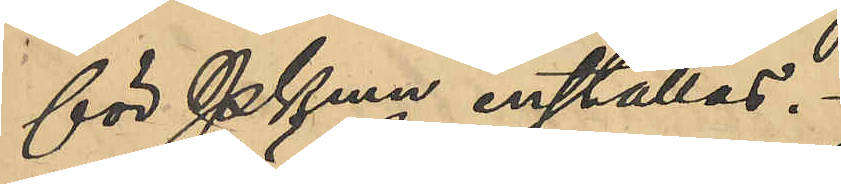för PKmn inställas.
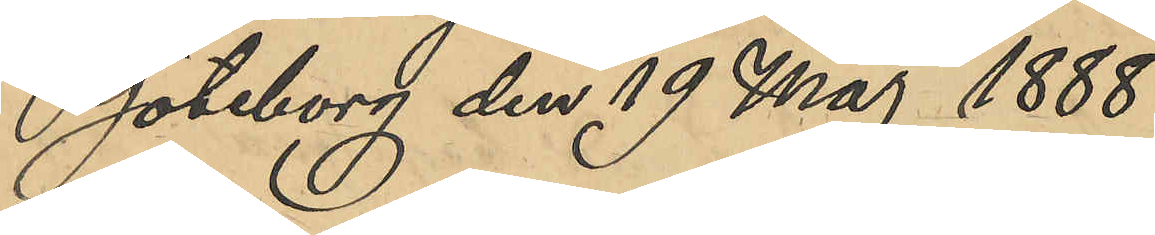Göteborg den 19 Maj 1888.
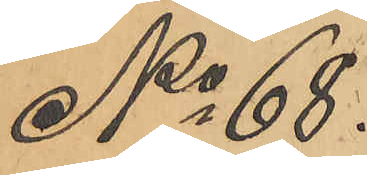No 68.
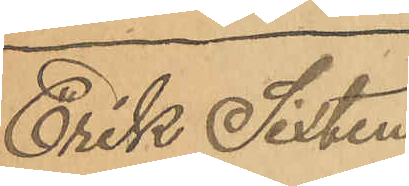Erik Sixten
